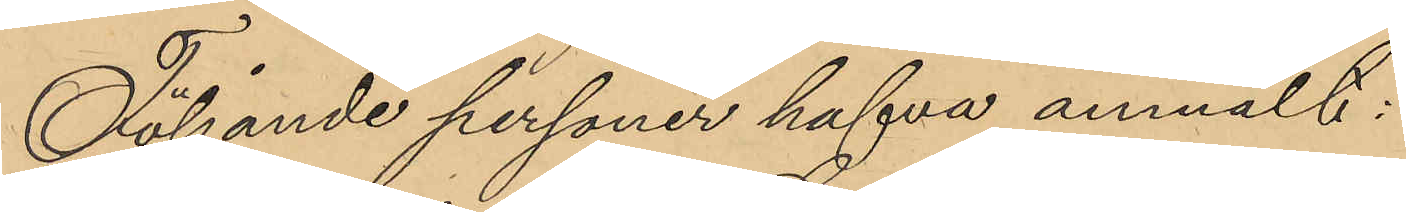Följande personer hafva anmält:
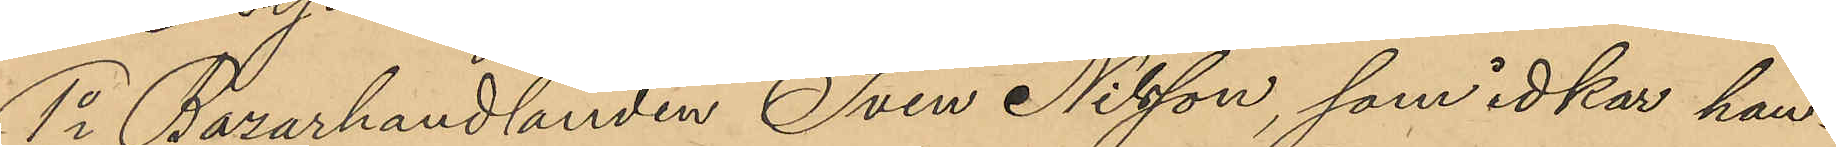1o Bazarhandlanden Sven Nilsson, som idkar han¬
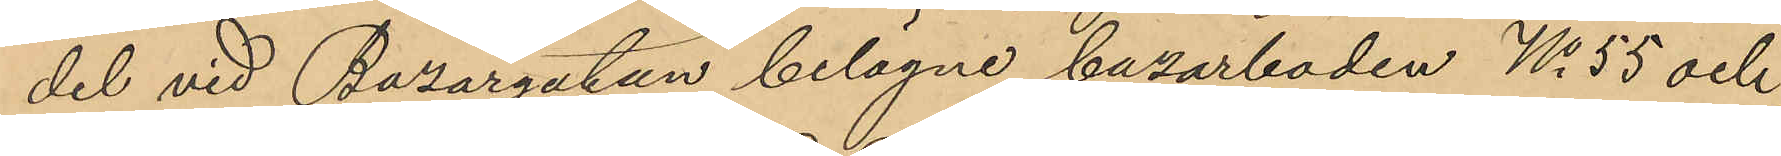del vid Bazargatan belägne bazarboden No 55 och
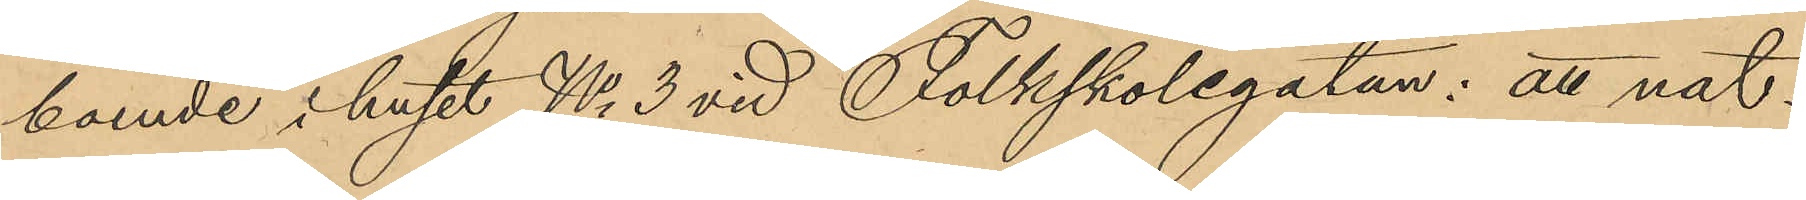boende i huset No 3 vid Folkskolegatan: att nat¬
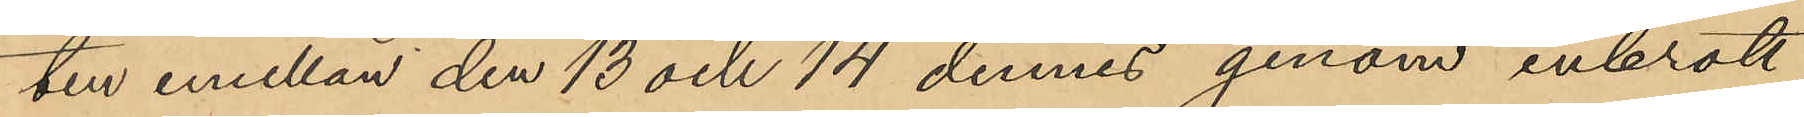ten emellan den 13 och 14 dennes genom inbrott
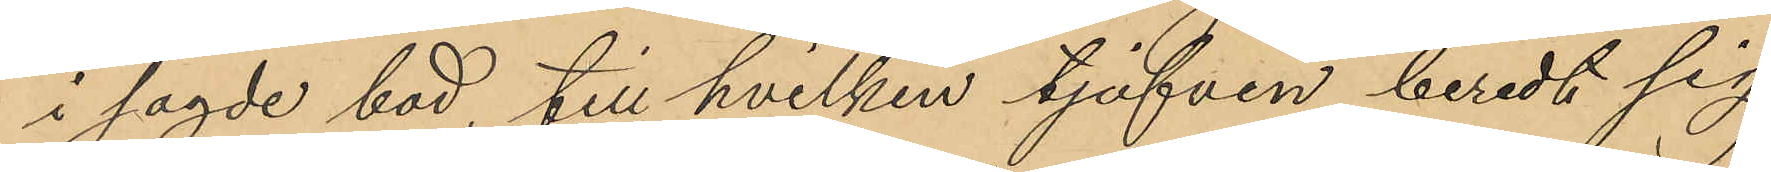i sagde bod, till hvilken tjufven beredt sig
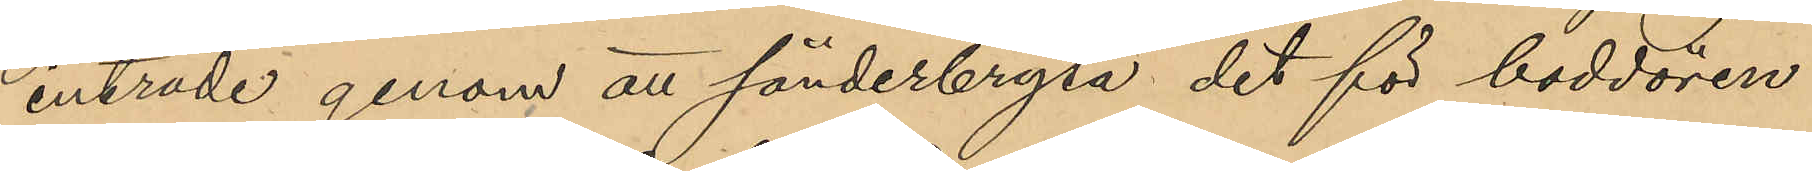inträde genom att sönderbryta det för boddören
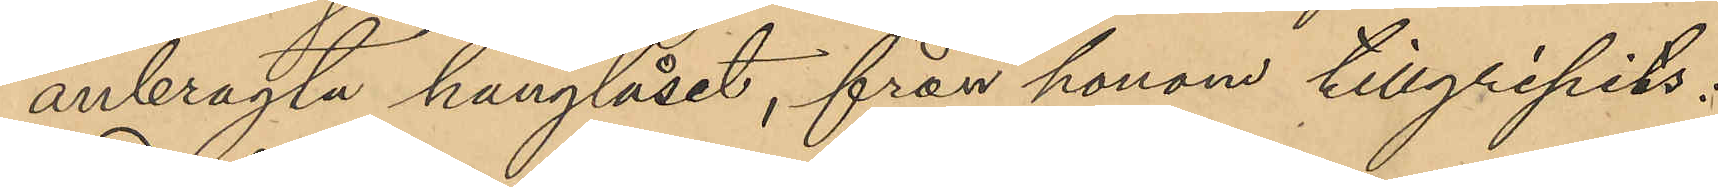anbragta hänglåset, från honom tillgripits:
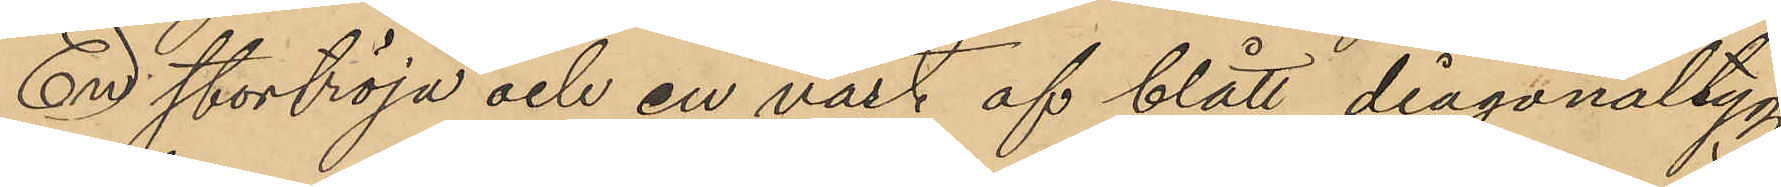En stortröja och en väst af blått diagonaltyg
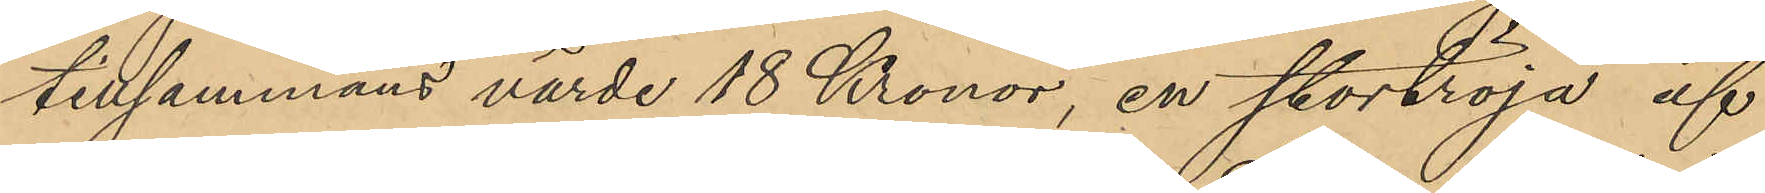tillsammans värde 18 Kronor, en stortröja af
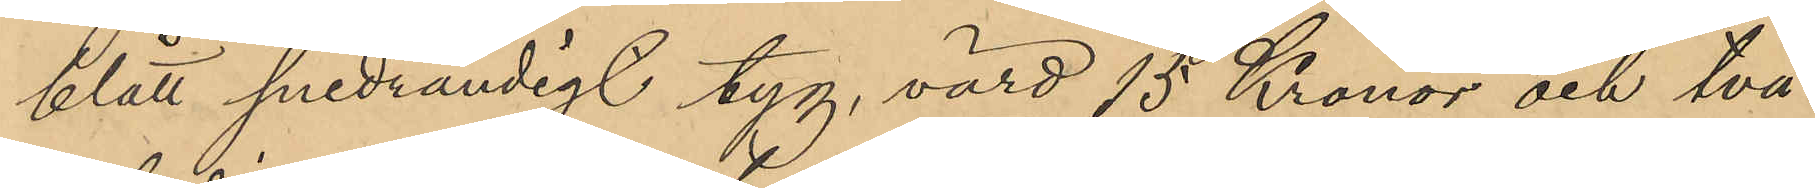blått snedrandigt tyg, värd 15 Kronor och två
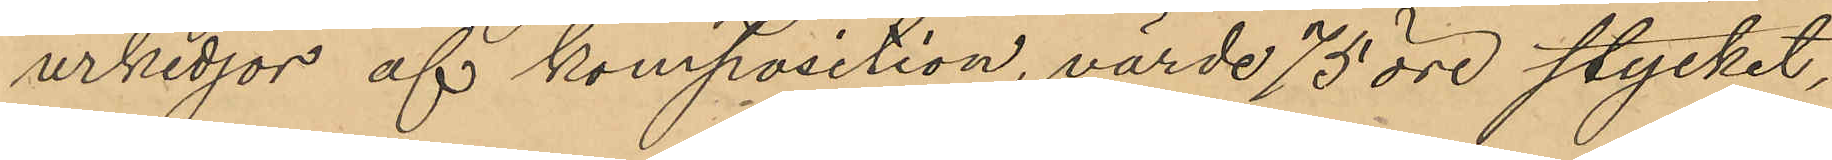urkedjor af komposition, värde 75 öre stycket,
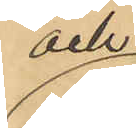och
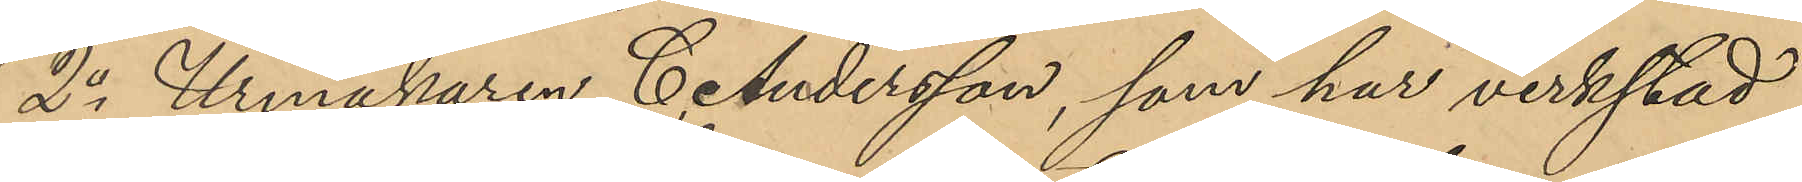2o Urmakaren C. Andersson, som har verkstad
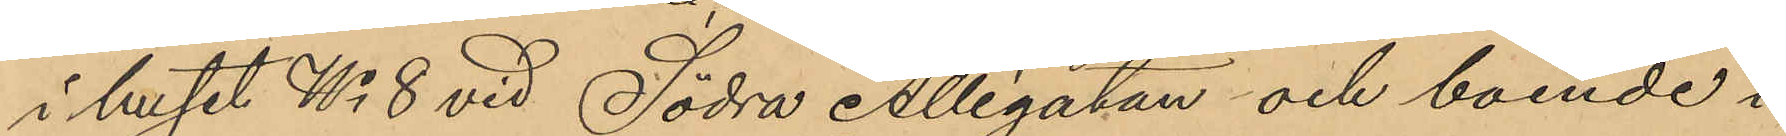i huset No 8 vid Södra Allégatan och boende i
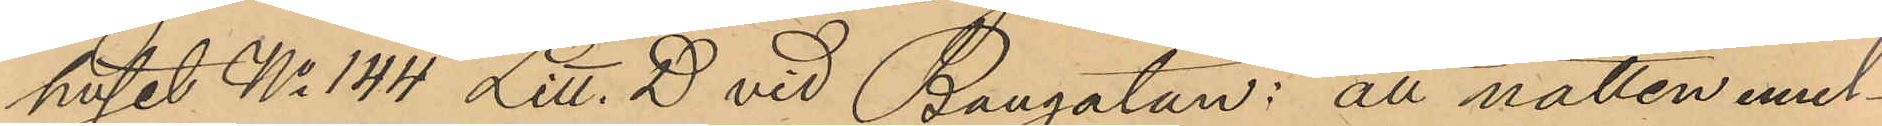huset No 144 Litt. D vid Bangatan: att natten emel¬
